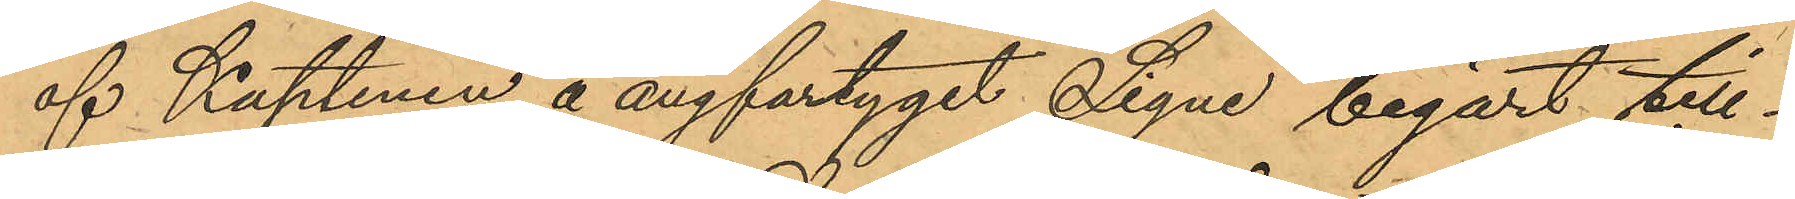af Kaptenen å ångfartyget "Signe" begärt till¬
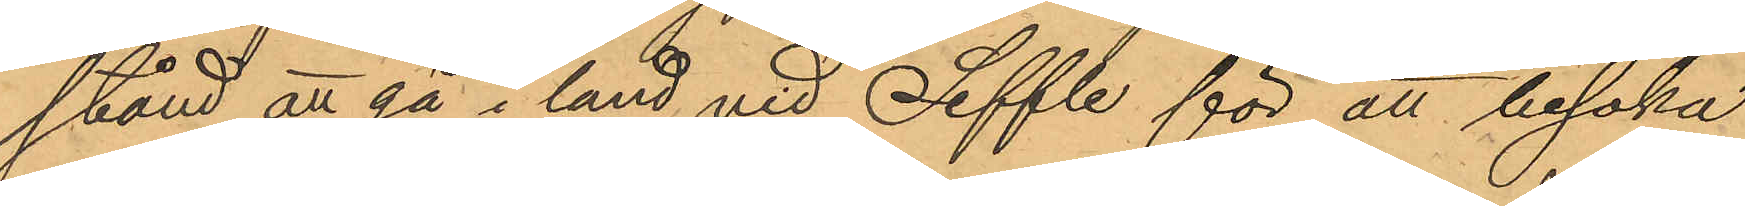stånd att gå i land vid Seffle för att besöka
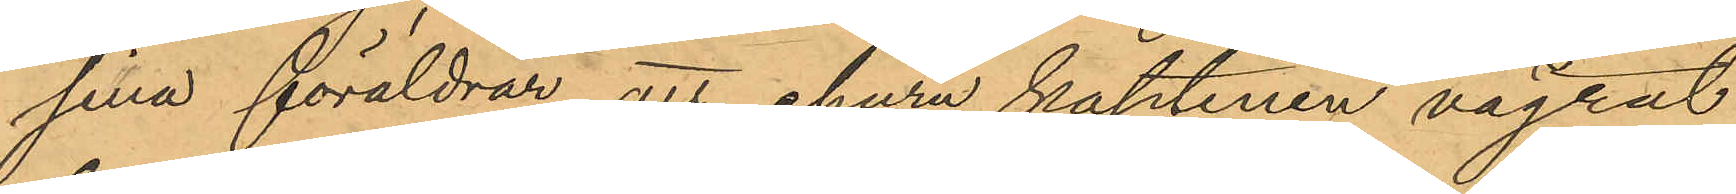sina föräldrar, att ehuru kaptenen vägrat
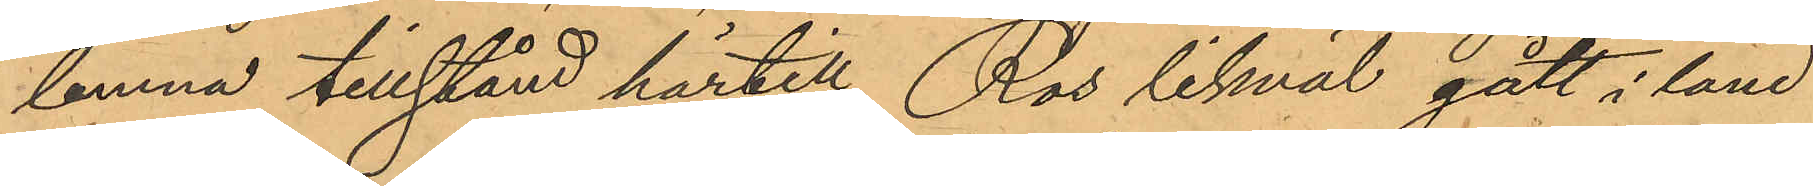lemna tillstånd härtill, Ros likväl gått i land
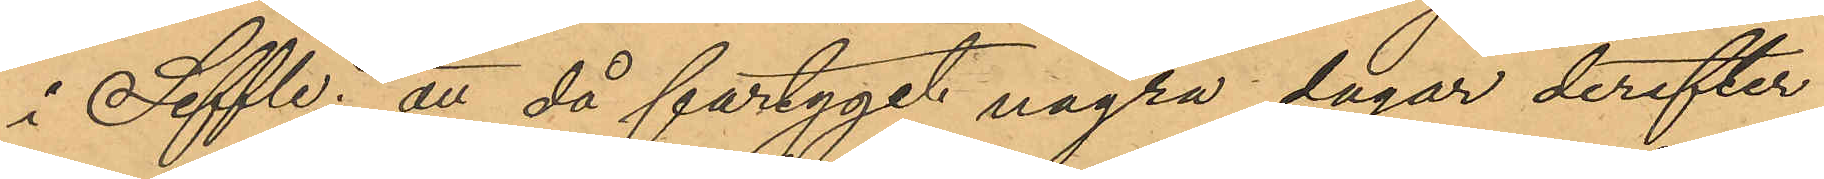i Seffle; att då fartyget några dagar derefter
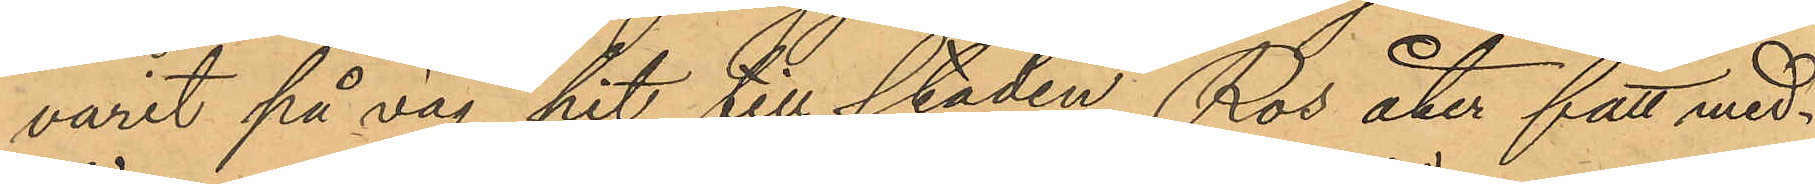varit på väg hit till staden, Ros åter fått med¬
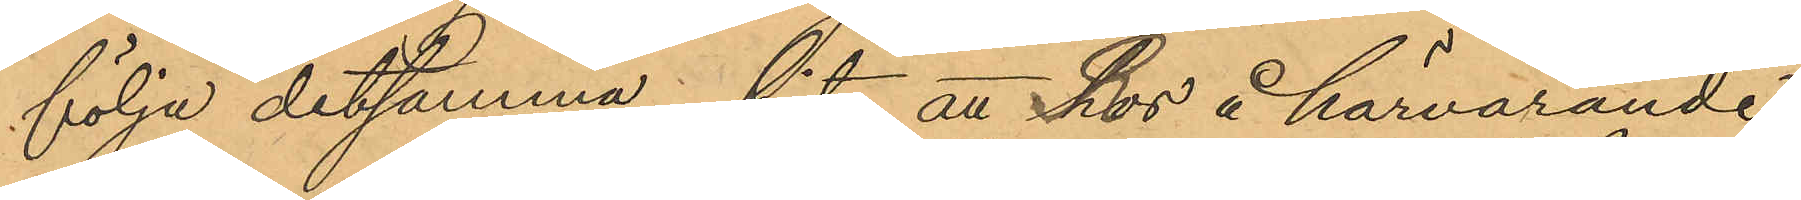följa detsamma hit att hos å härvarande
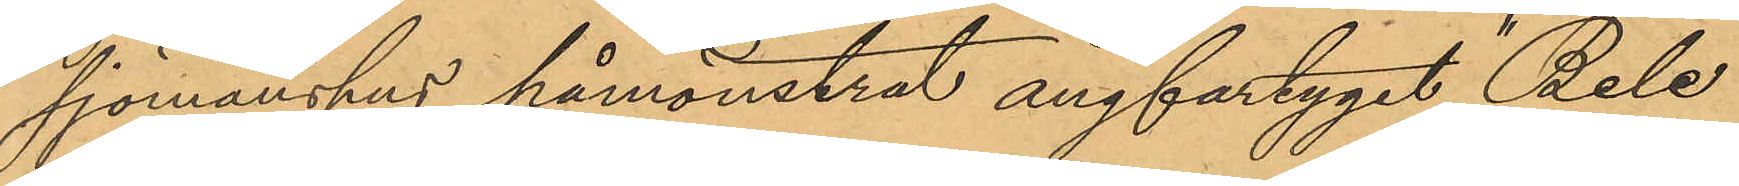sjömanshus påmönstrat ångfartyget "Bele"
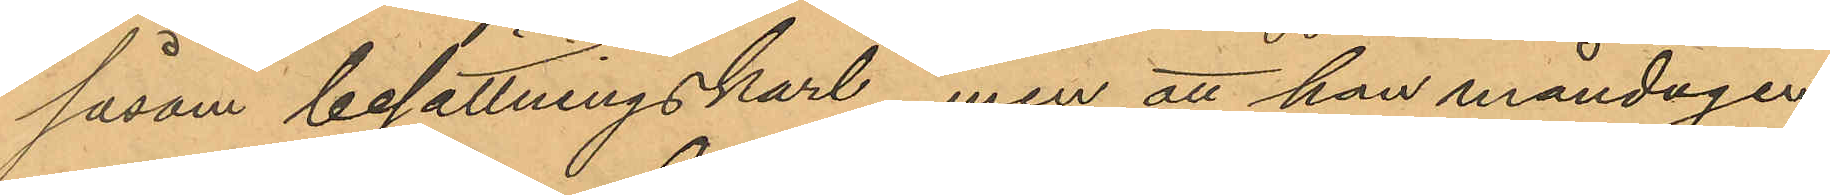såsom besättningskarl, men att han måndagen
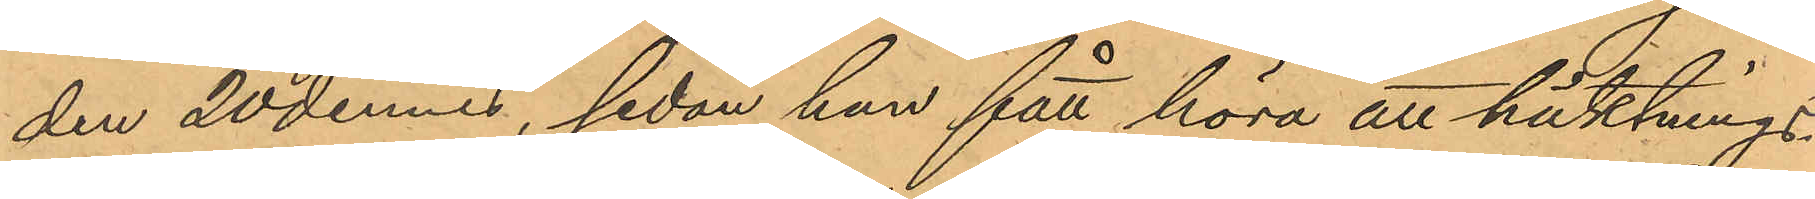den 20 dennes, sedan han fått höra att häktnings¬
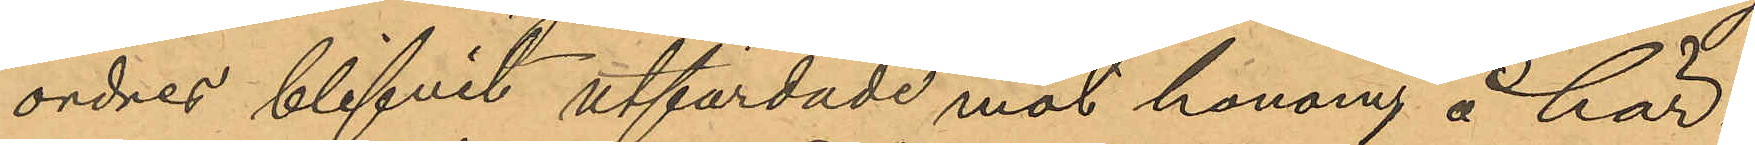ordres blifvit utfärdade mot honom å här¬
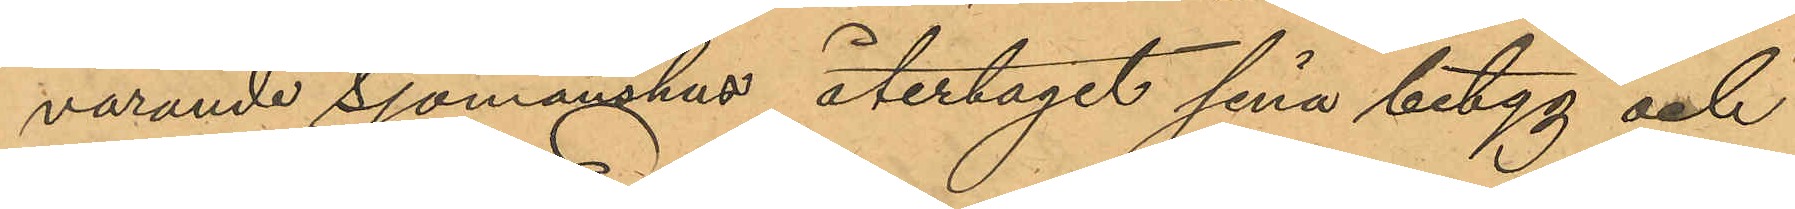varande Sjömanshus återtagit sina betyg och
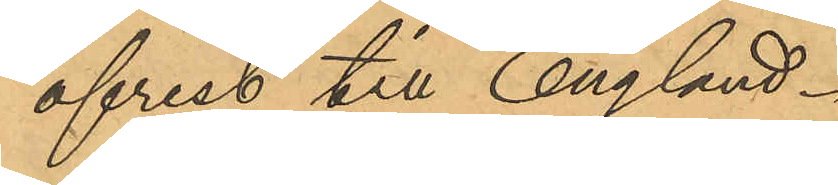afrest till England.
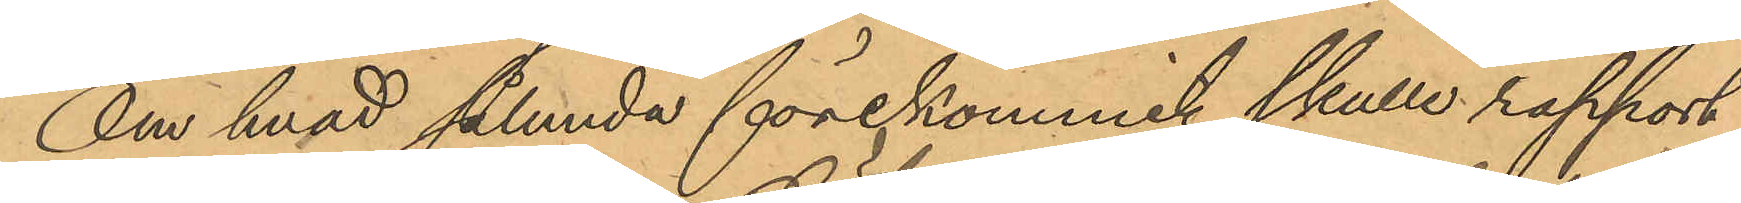Om hvad sålunda förekommit skulle rapport
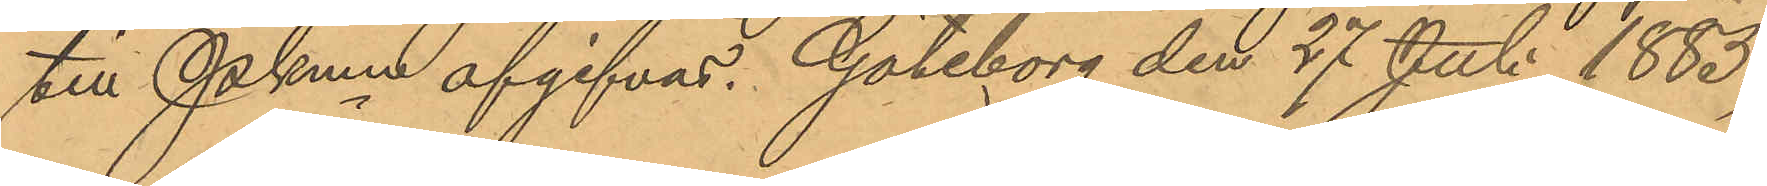till Pkmn afgifvas. Göteborg den 27 Juli 1885.
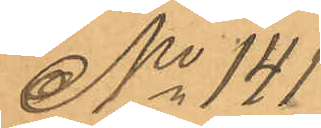No 141
